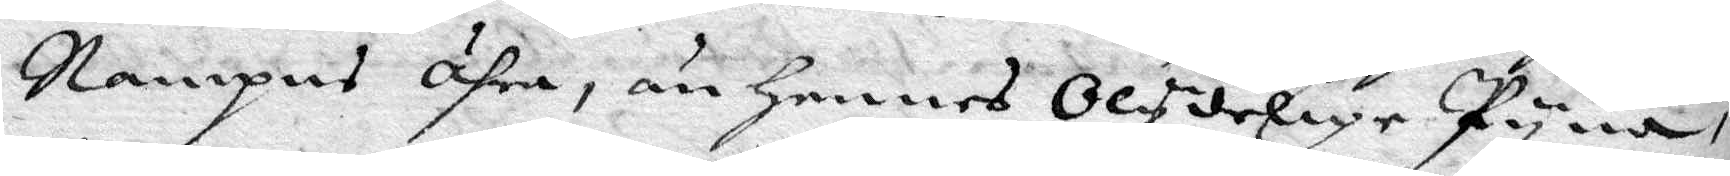Nampns ähra, än hennes Olydelige Pyna,
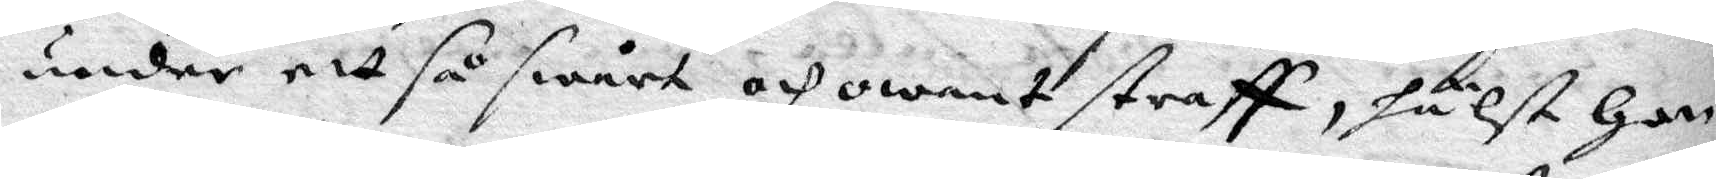under ett så swårt och owant straff, hälst Hon
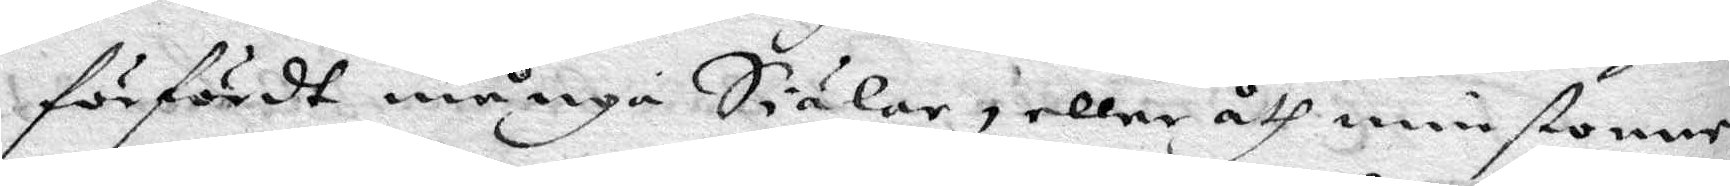förfördt många Siälar, eller åth minstonne,
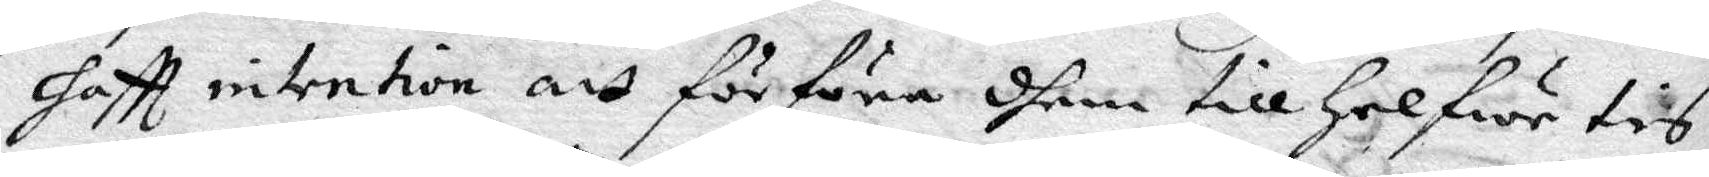haftt intention, att förföra dhem till Helfwetis
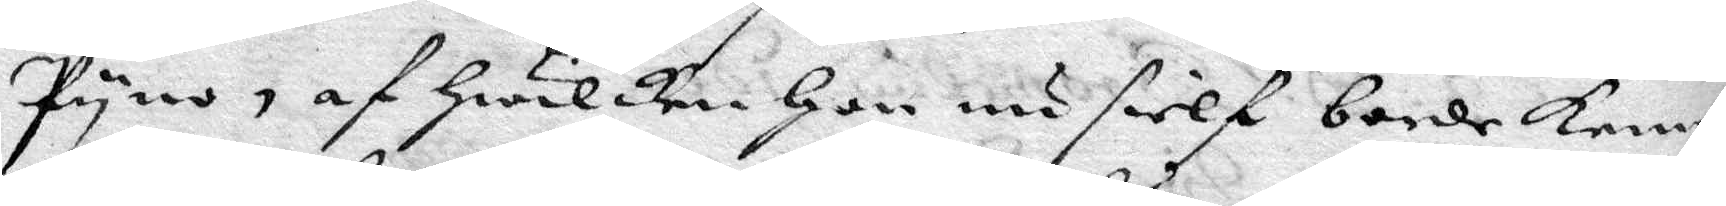Pyno, af Hwilken Hon nu sielf borde kenne
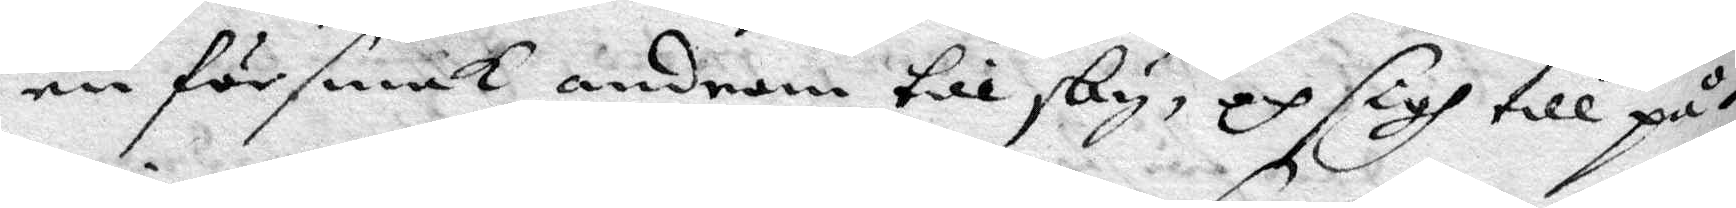en försmak androm till sky, och sigh till på¬
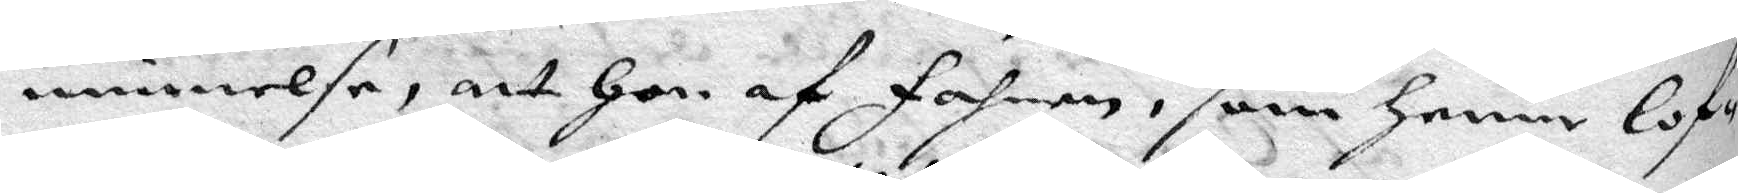minnelse, att Hon af Fahnen, som Henne lof¬
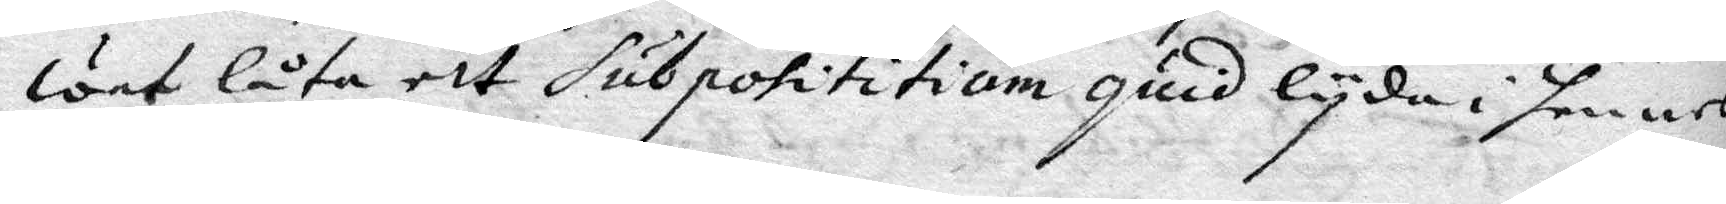wet låta ett Subposititium quid lyda i henne
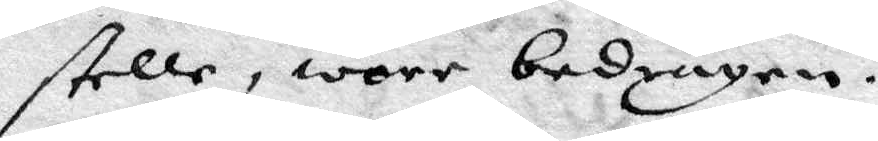stelle, wore bedragen.
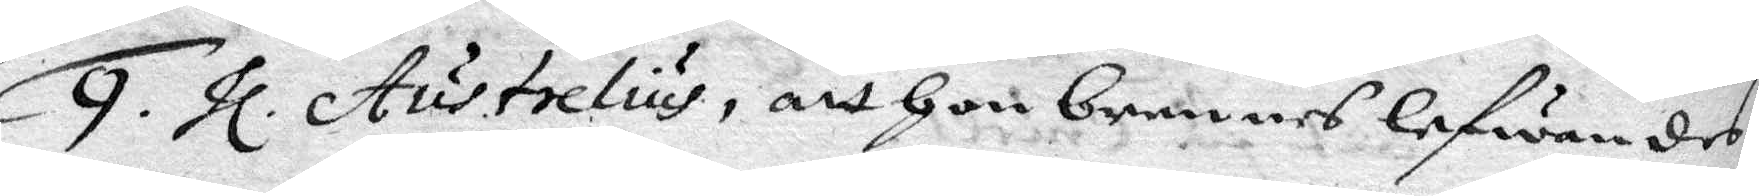9. hl. Austrelius, att hon brennes lefwandes.
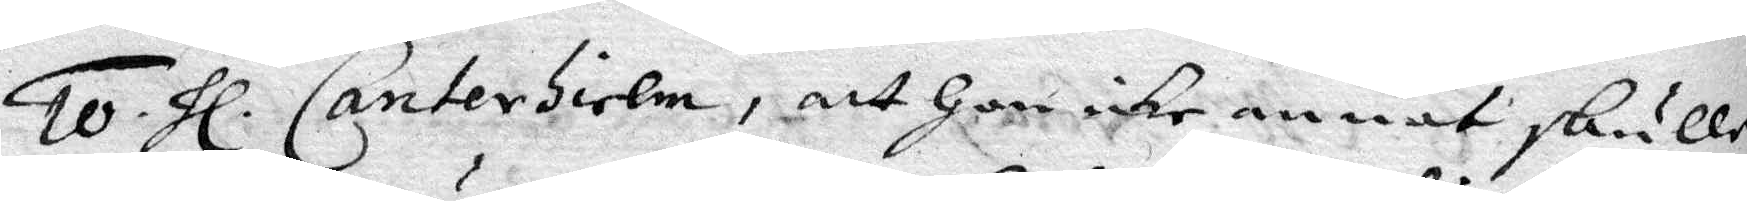10. hl. Canterhielm, att Hon icke annat skulle
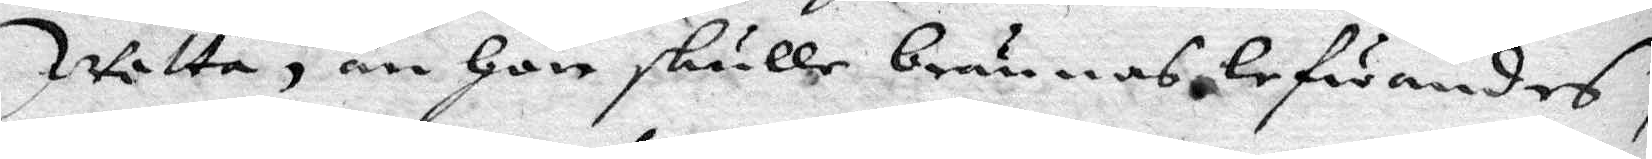wetta, än Hon skulle brännas lefwandes,
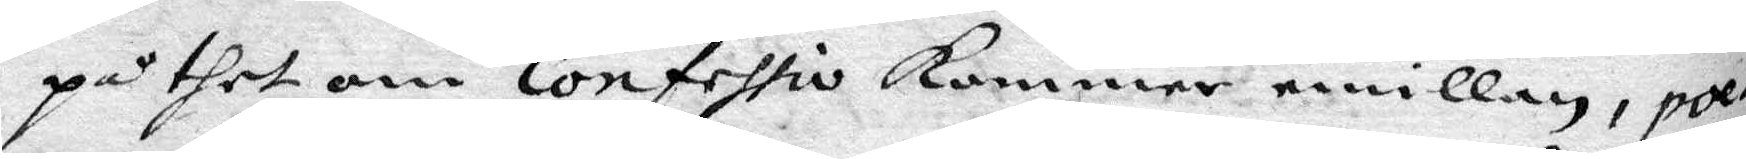på thet om Confessio kommer emillan, poe¬
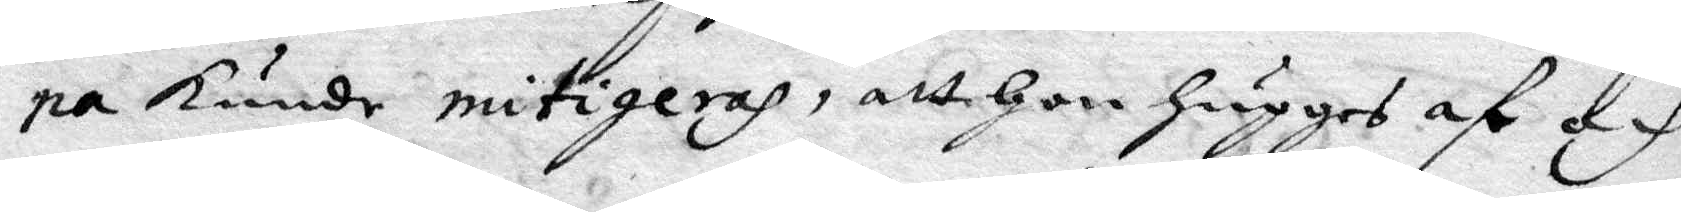na kunde mitigeras, att Hon hugges af och
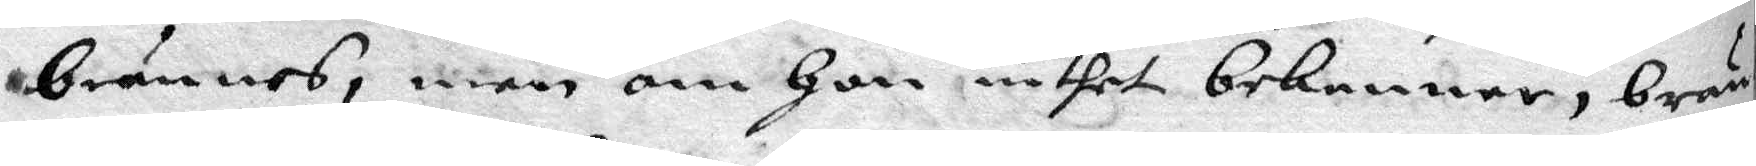brännes, men om Hon intet bekenner, brän¬
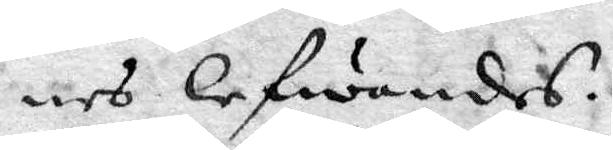nes lefwandes.
